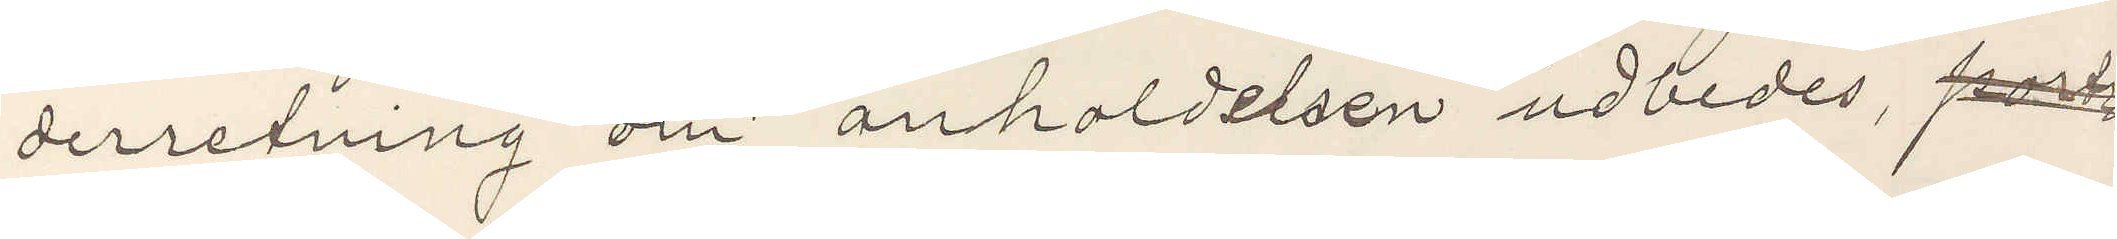derretning om anholdelsen udbedes, port
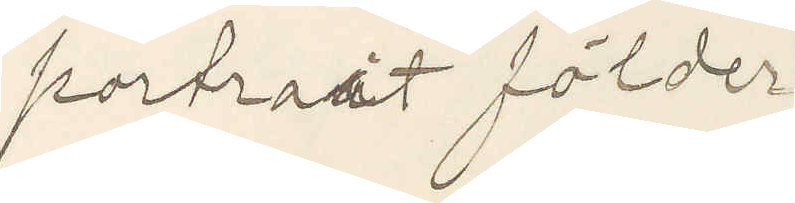portrait földer
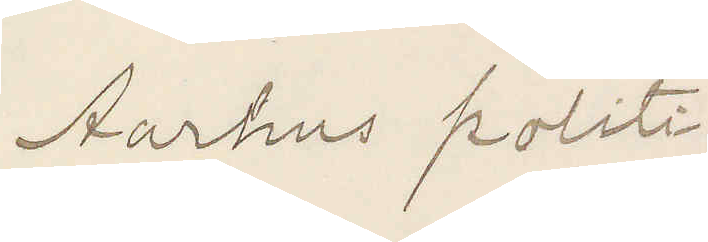Aarhus politi.
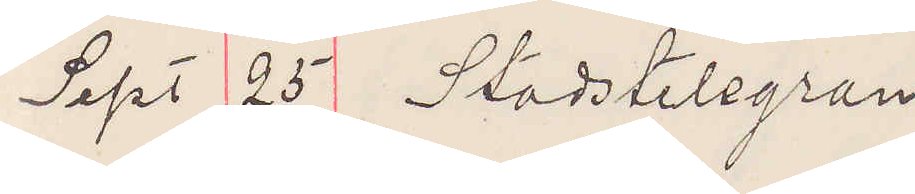Sept 25 Stadstelegram
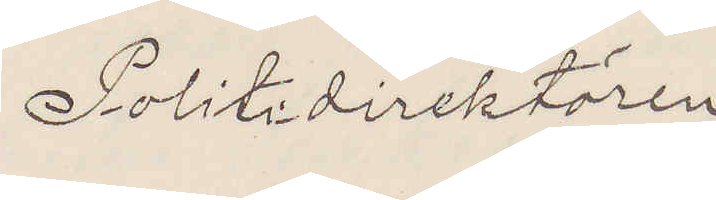Politidirektören
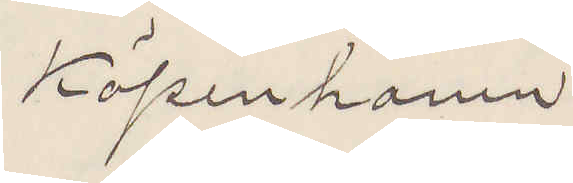Köpenhamn
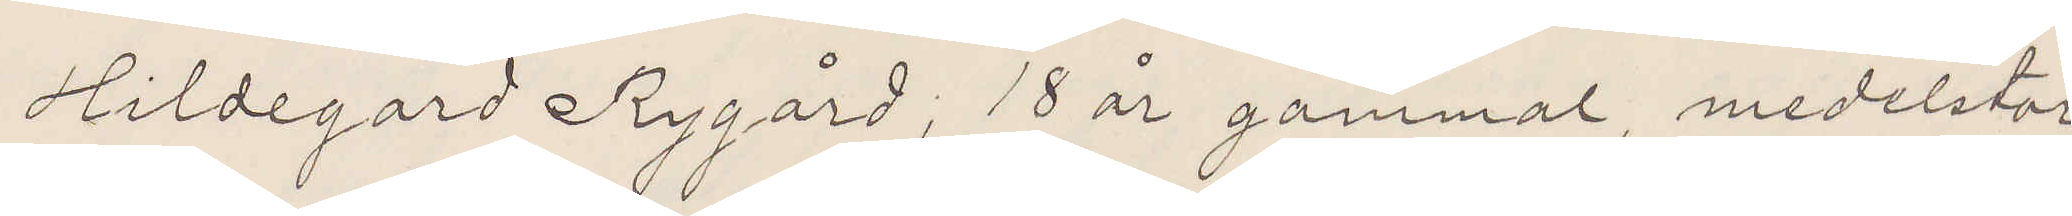Hildegard Rygård, 18 år gammal, medelstor,
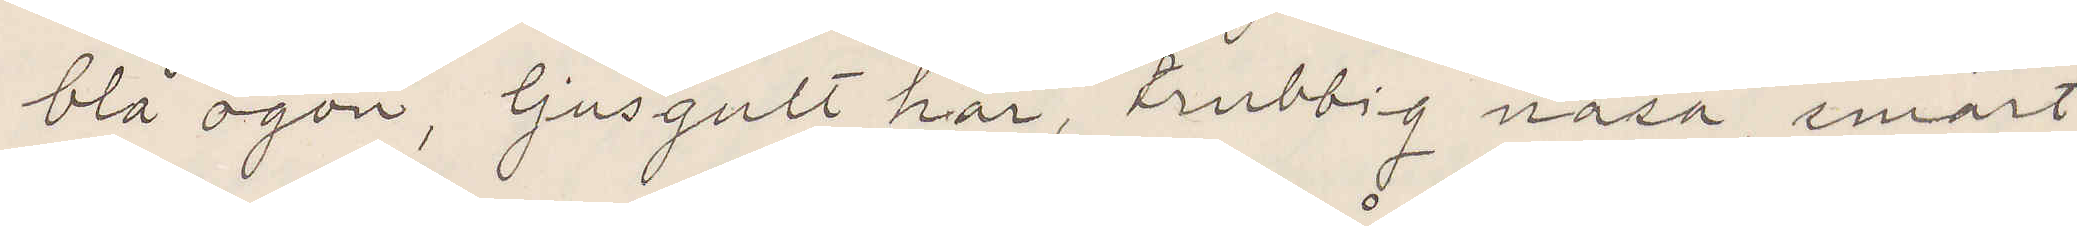blå ögon, ljusgult hår, trubbig näsa, smärt
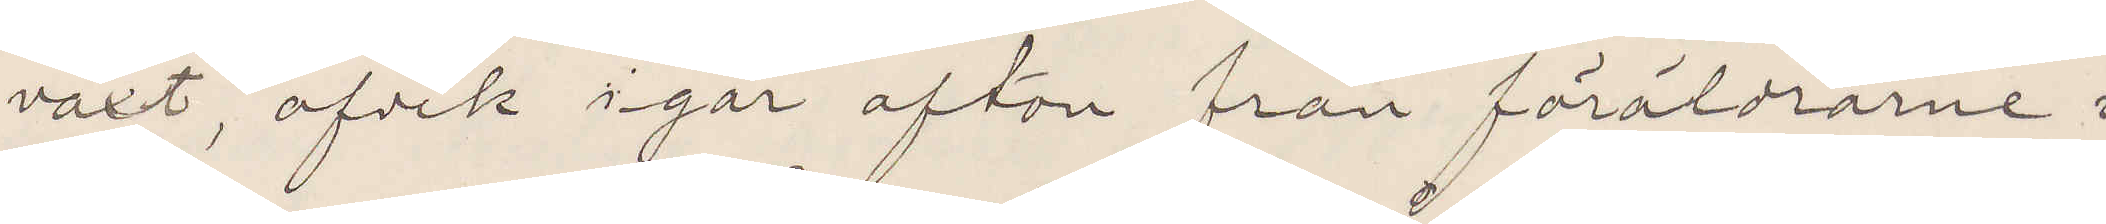växt, afvek igår afton från föräldrarne
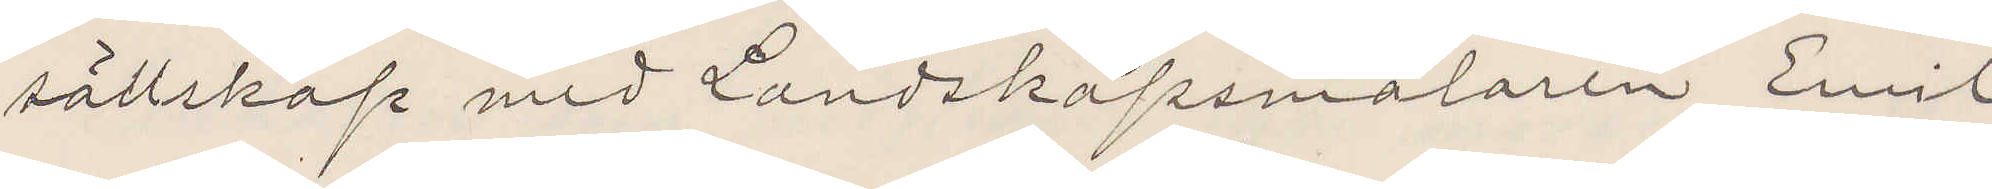sällskap med Landskapsmålaren Emil
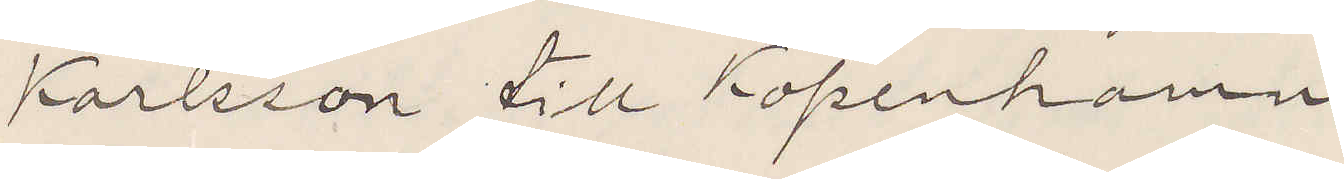Karlsson till Kopenhamn.
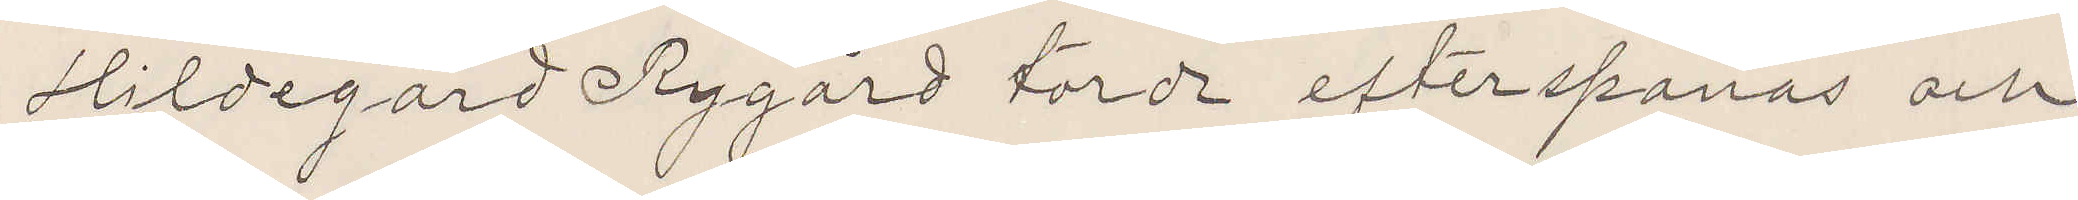Hildegard Rygård torde efterspanas och
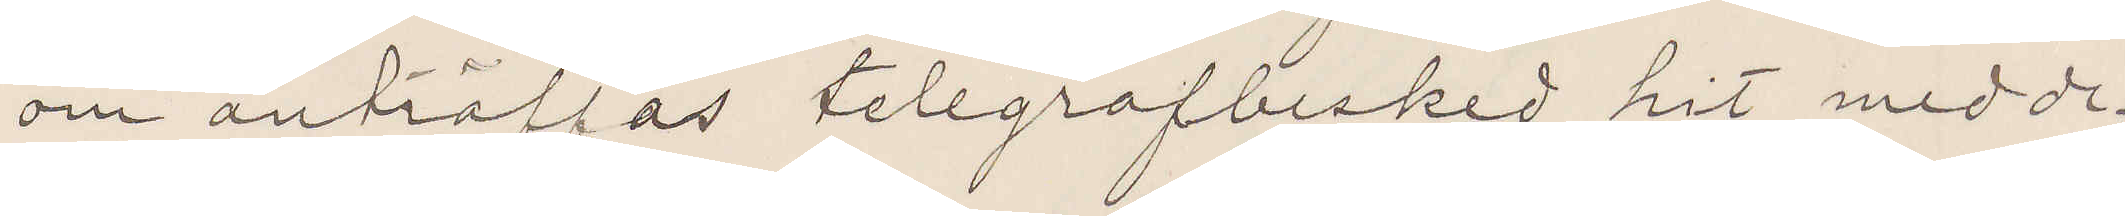om anträffas telegrafbesked hit medde¬
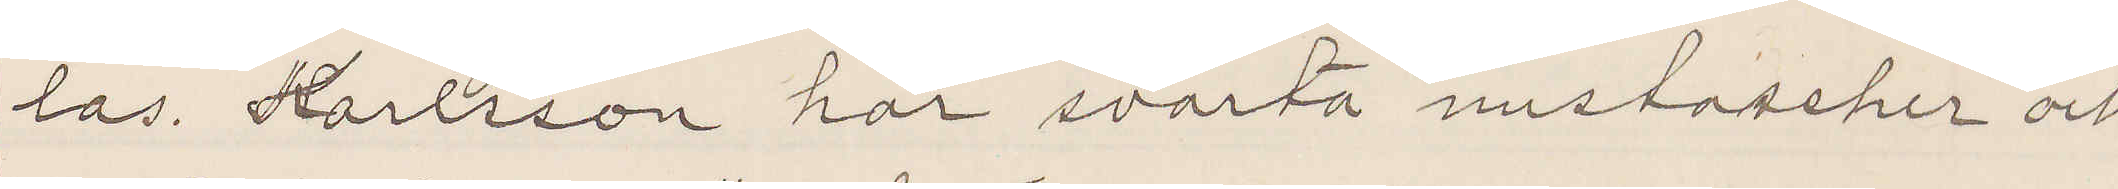las. Karlsson har svarta mustascher och
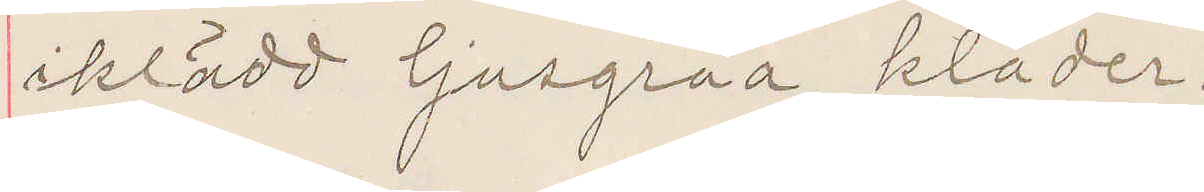iklädd ljusgråa kläder.
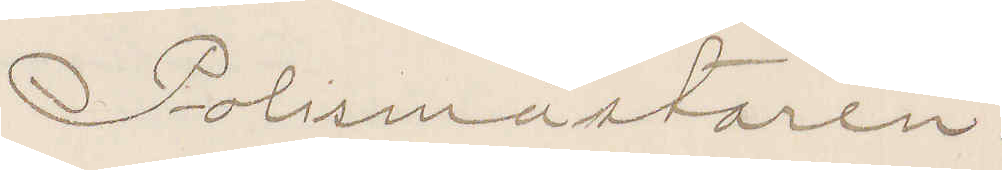Polismästaren.
